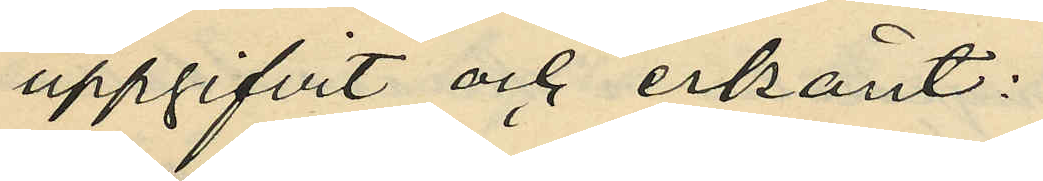uppgifvit och erkänt:
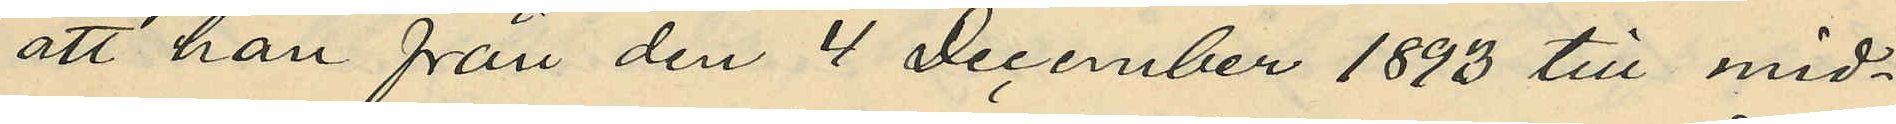att han från den 4 December 1893 till mid¬
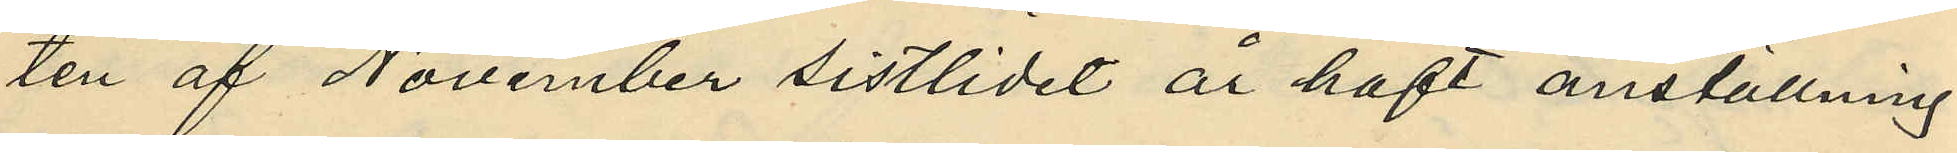ten af November sistlidet år haft anställning
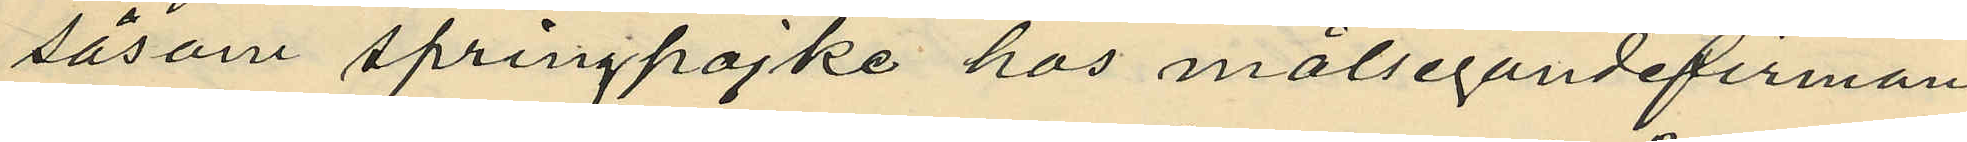såsom springpojke hos målsegandefirman
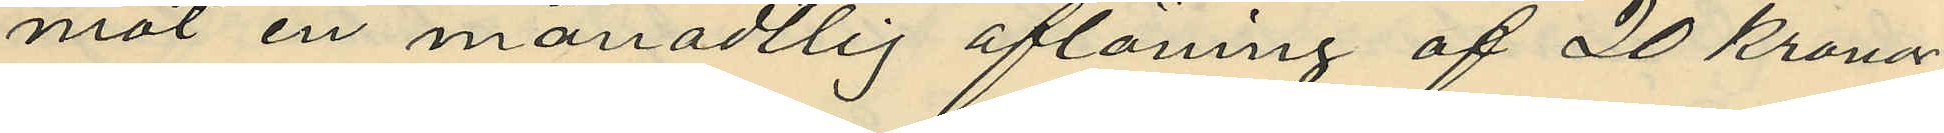mot en månadtlig aflöning af 20 kronor,
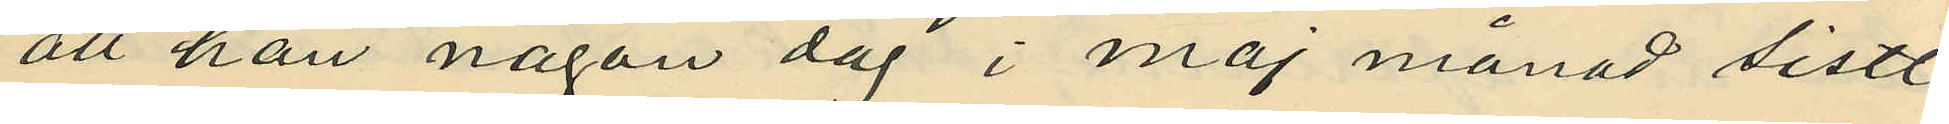att han någon dag i maj månad sistl.
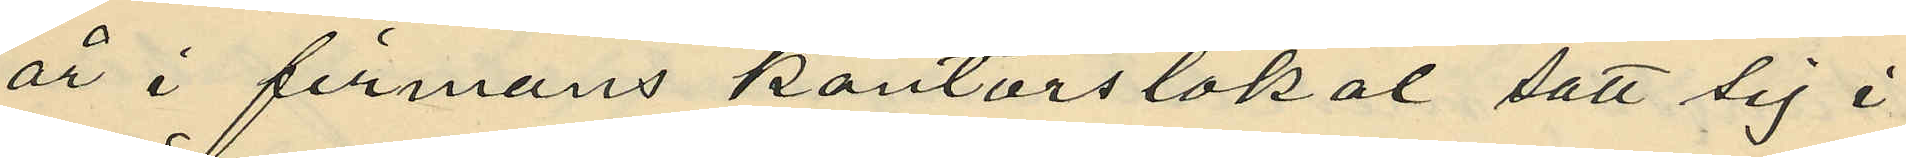år i firmans kontorslokal satt sig i
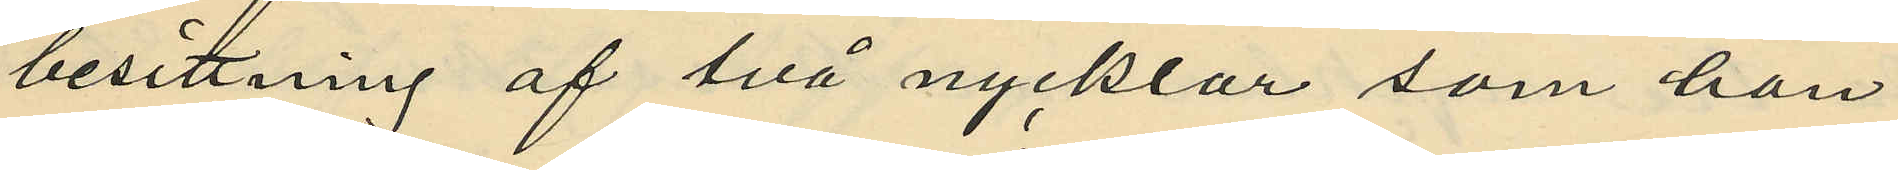besittning af två nycklar som han
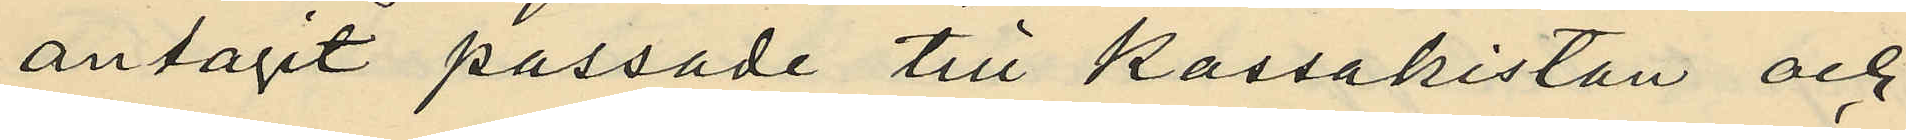antagit passade till kassakistan och
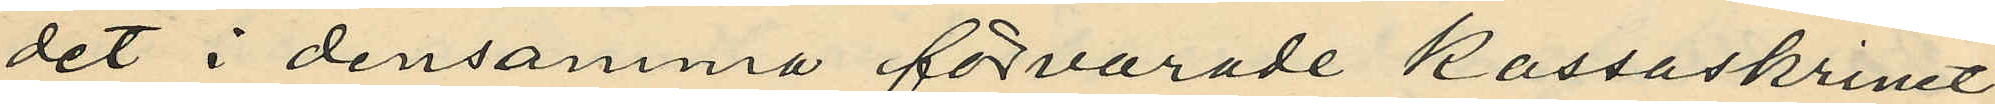det i densamma förvarade kassaskrinet;
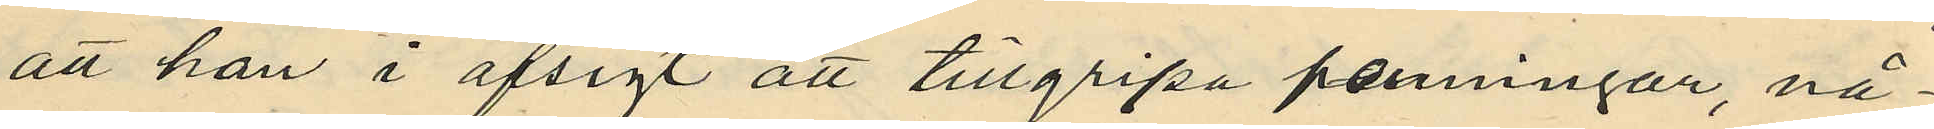att han i afsigt att tillgripa penningar, nå¬
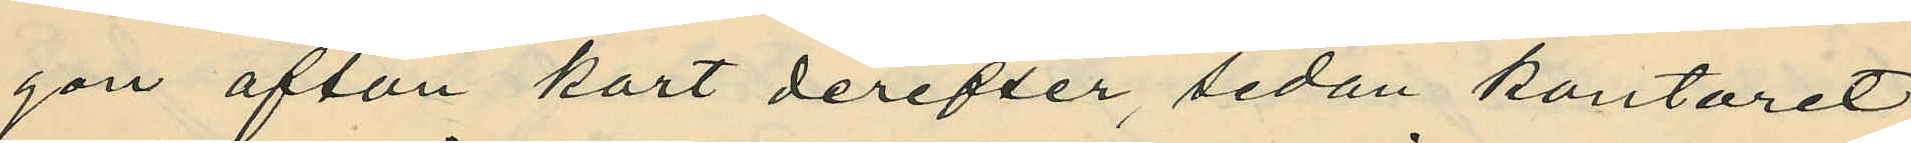gon afton kort derefter, sedan kontoret
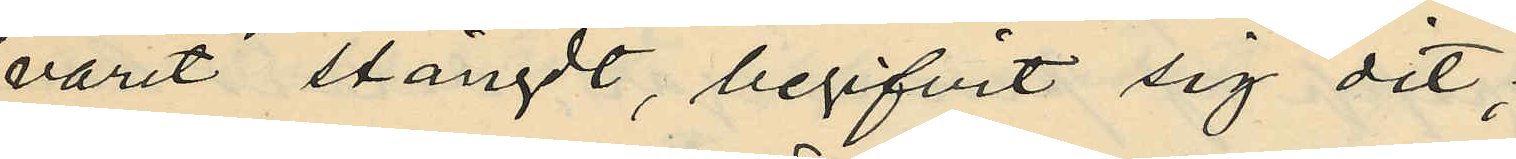varit stängdt, begifvit sig dit;
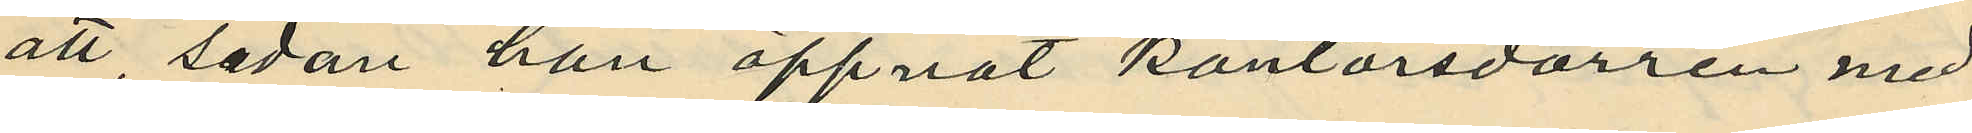att, sedan han öppnat kontorsdörren med
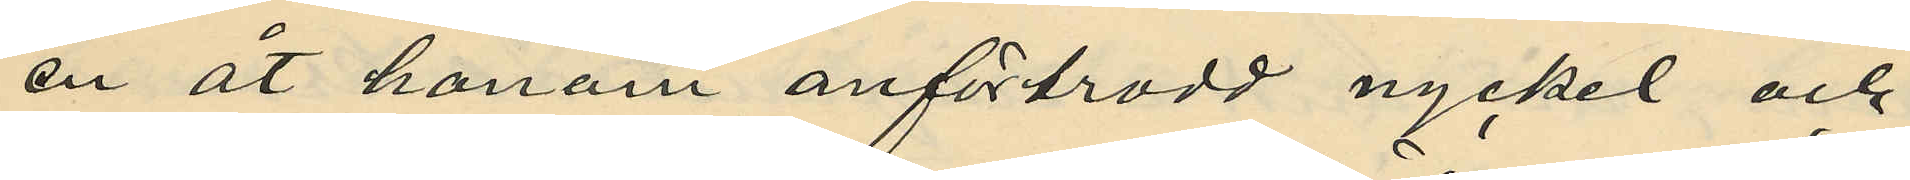en åt honom anförtrodd nyckel och
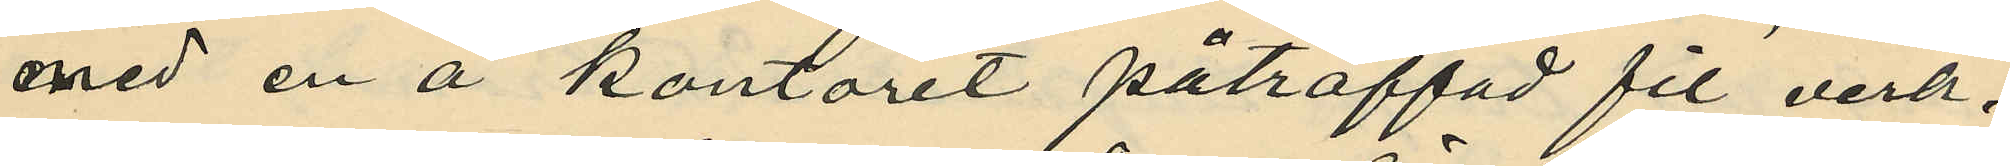med en å kontoret påträffad fil verk¬
